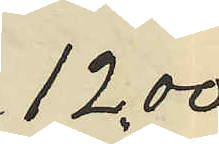12,00
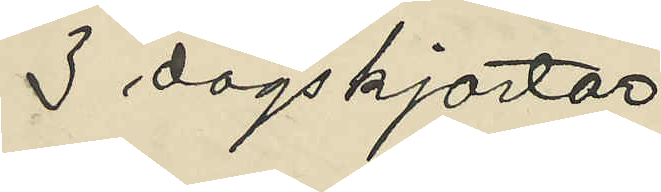3 dagskjortor
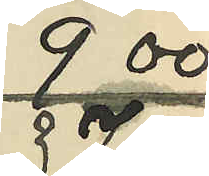9 00
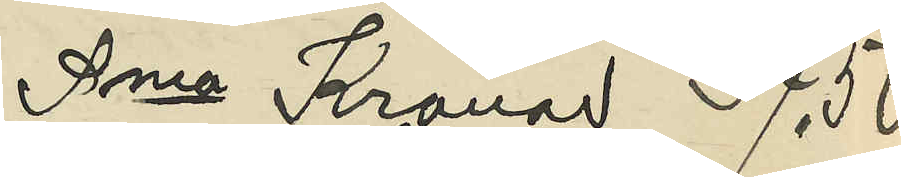Sma Kronor 37,50
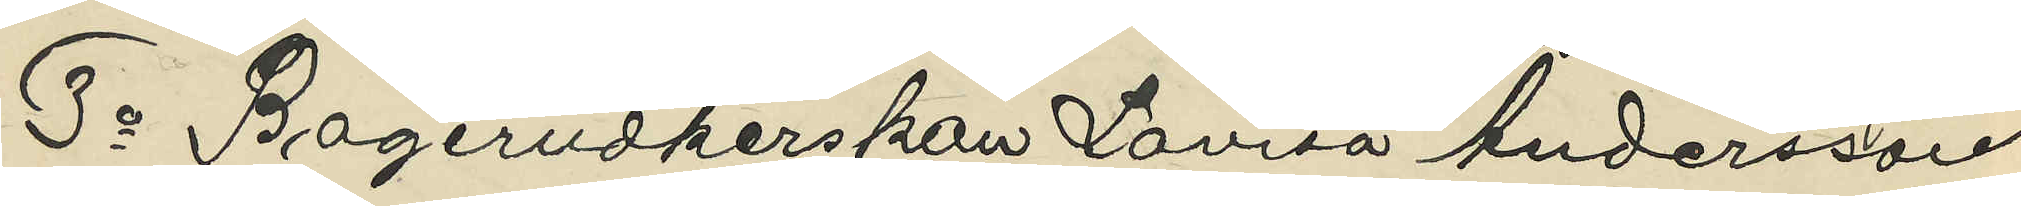3o Bageriidkerskan Lovisa Andersson
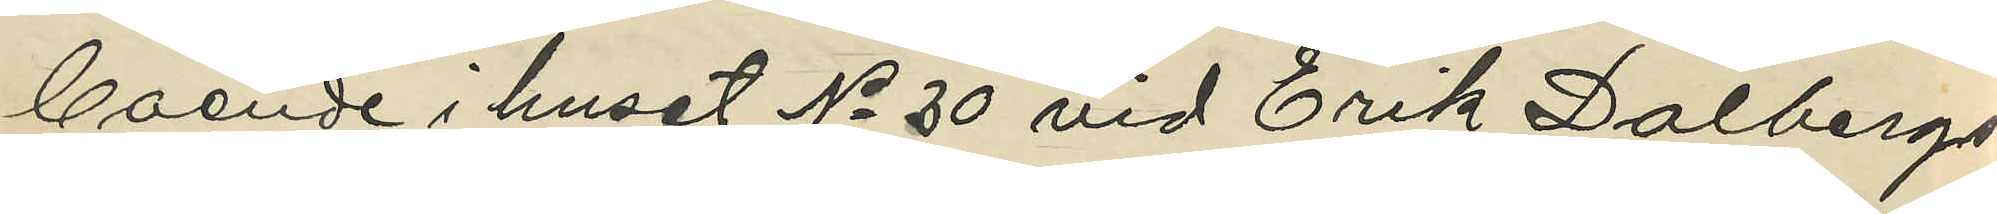boende i huset No 30 vid Erik Dalbergs¬
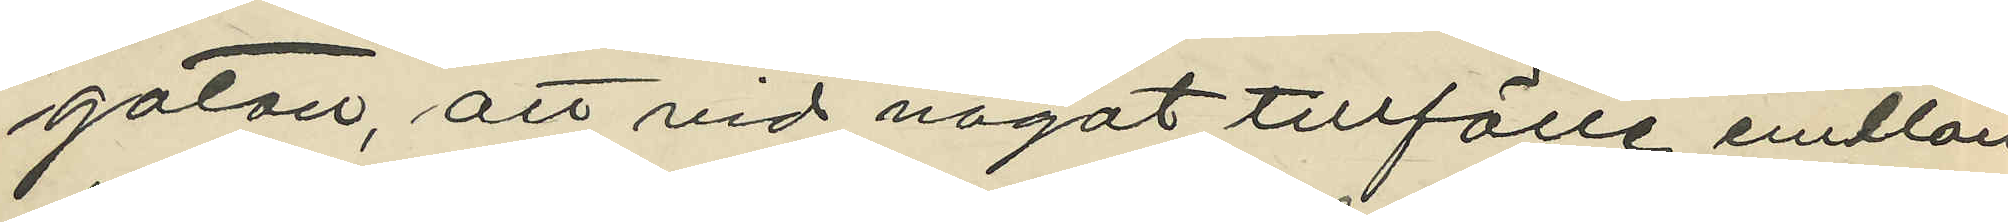gatan, att vid något tillfälle emllan
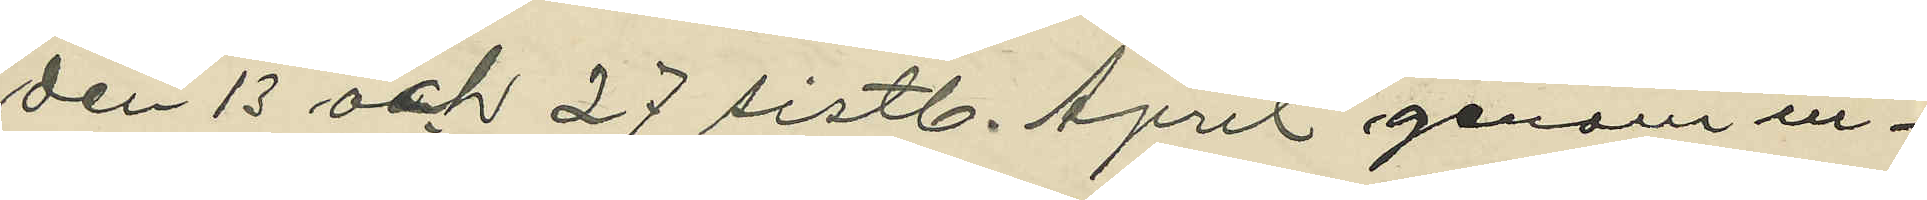den 13 och 27 sistl. April genom in¬
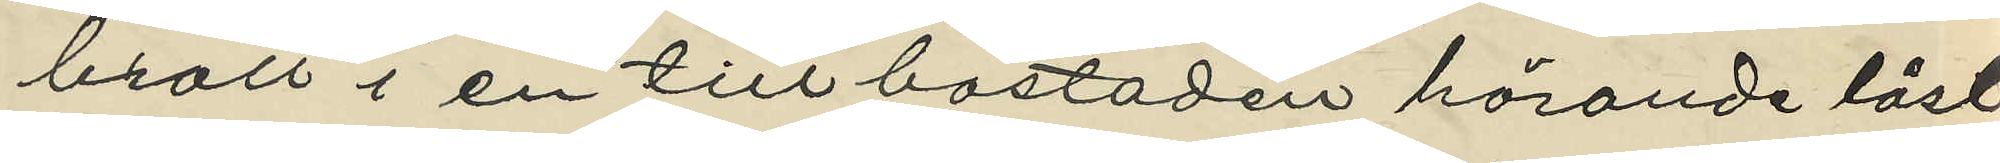brott i en till bostaden hörande låst
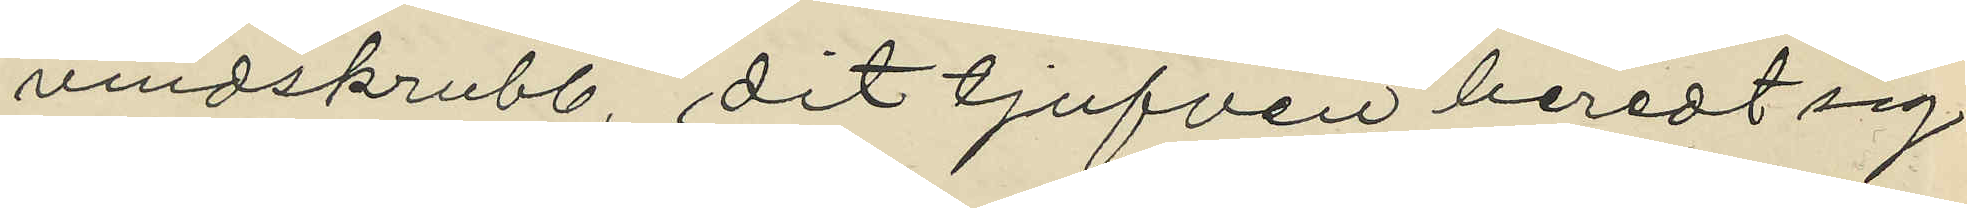vindskrubb, dit tjufven beredt sig
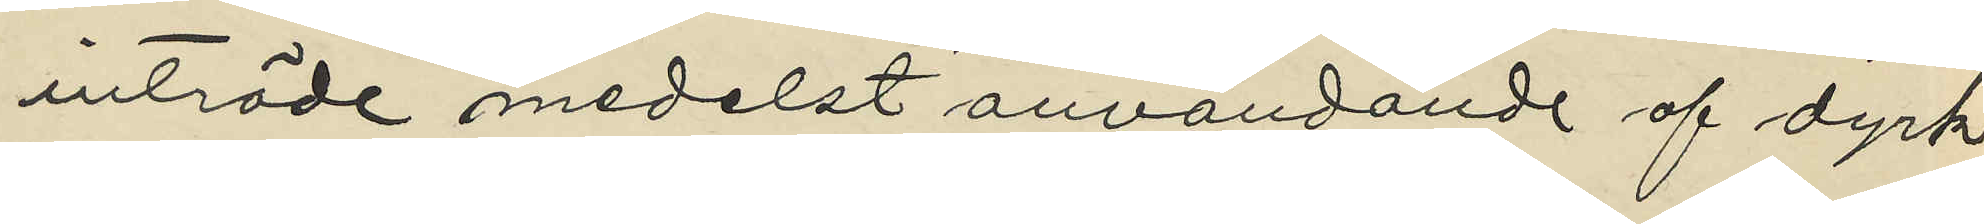inträde medelst användande af dyrk
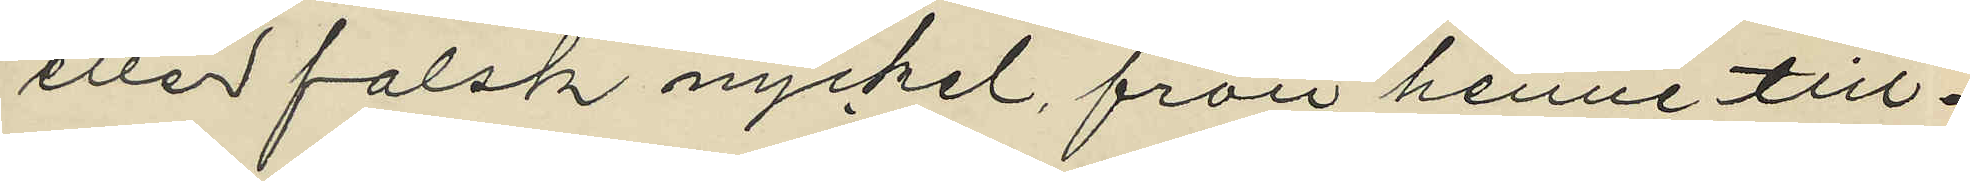eller falsk nyckel, från henne till¬
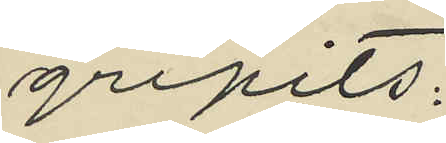gripits:
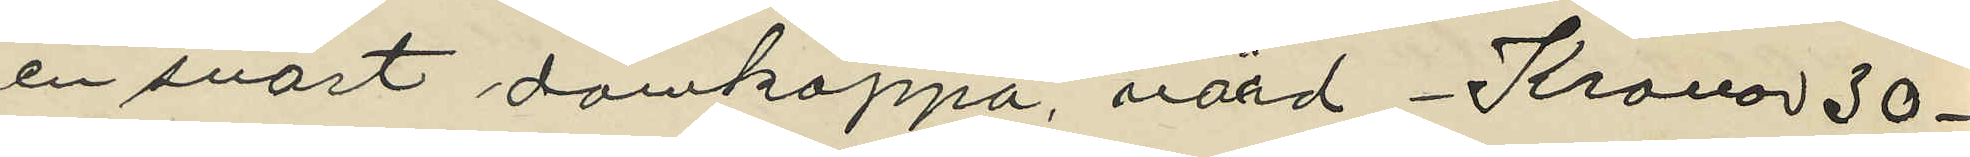en svart damkappa, värd Kronor 30 -
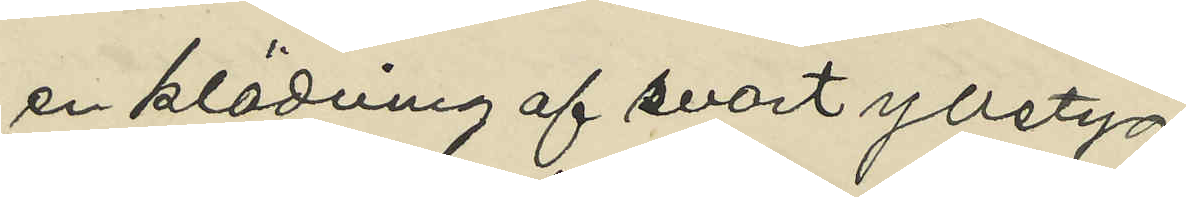en klädning af svart ylletyg
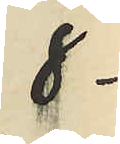8 -
